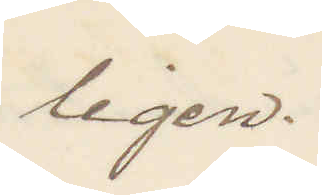ligen.
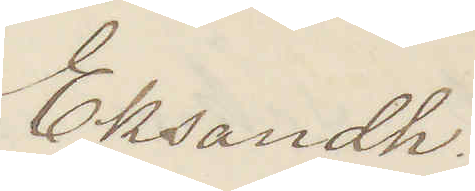Eksandh.
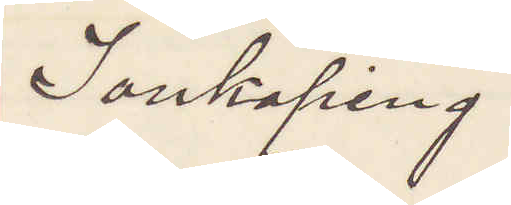Jönköping
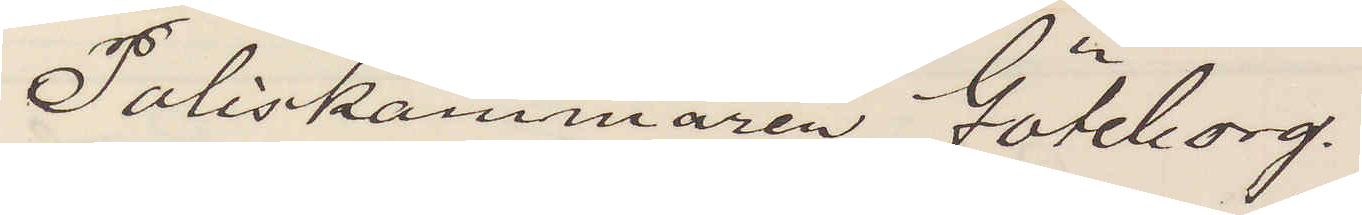Poliskammaren Göteborg.
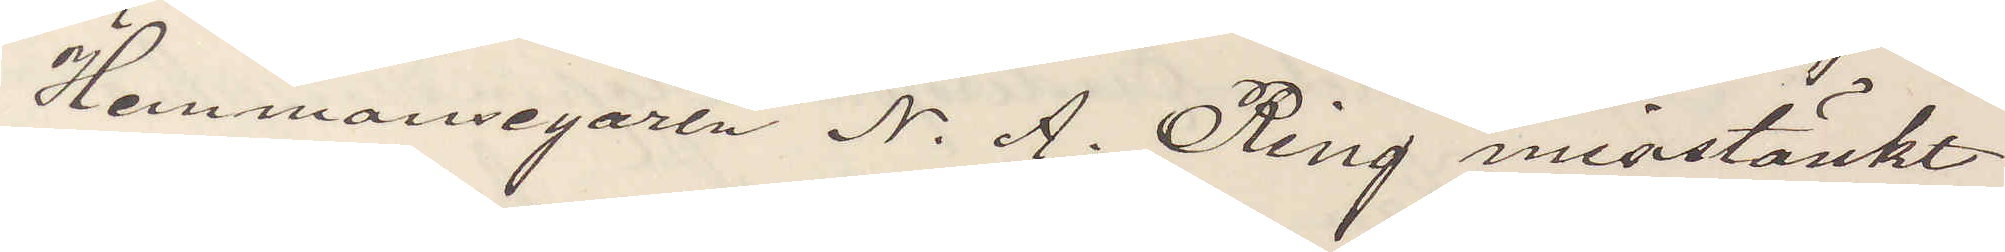Hemmansegaren N. A. Ring misstänkt
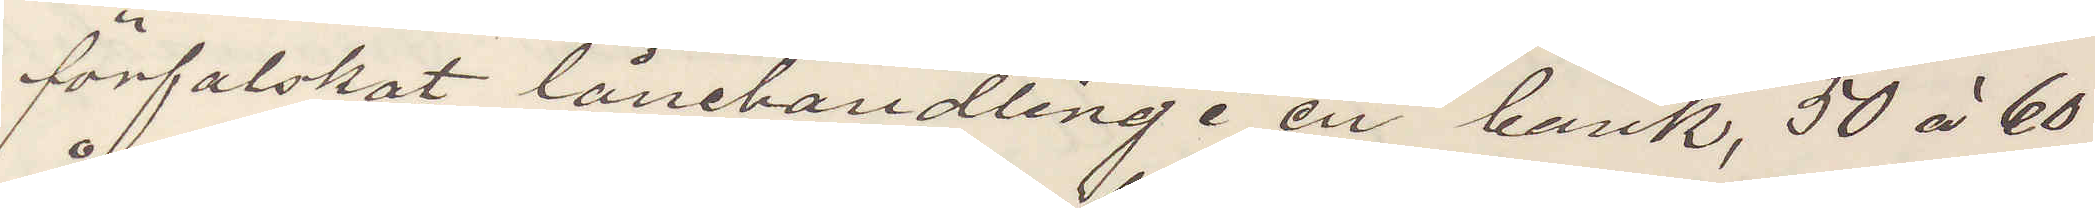förfalskat lånehandling i en bank, 50 à 60
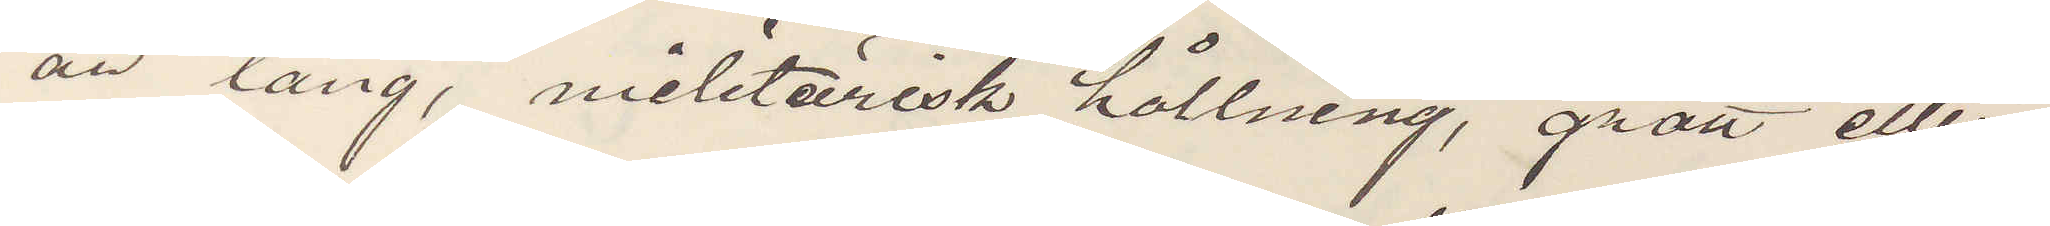år lång, militärisk hållning, grått eller
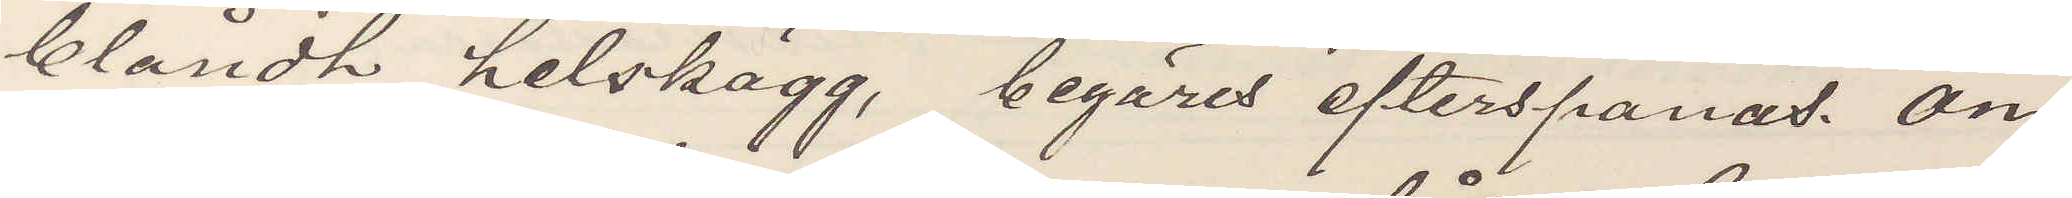blåndt helskägg, begäras efterspanas. Om
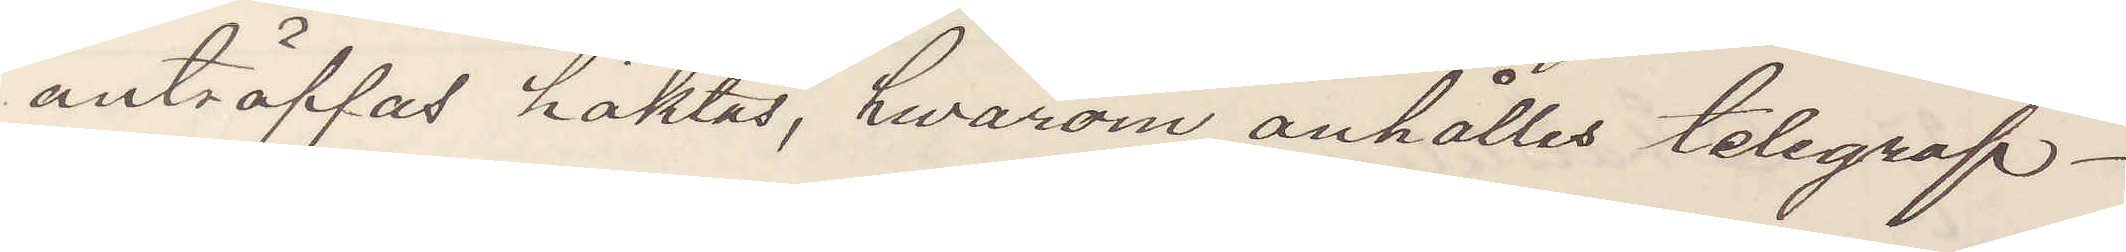anträffas häktas, hwarom anhålles telegraf¬
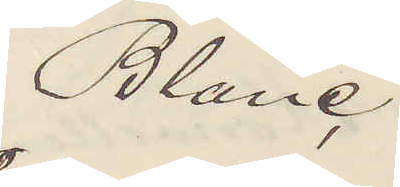Blanc
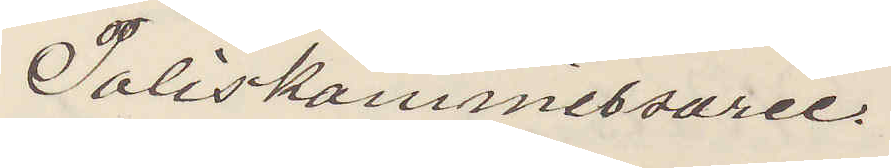Poliskommissarie.
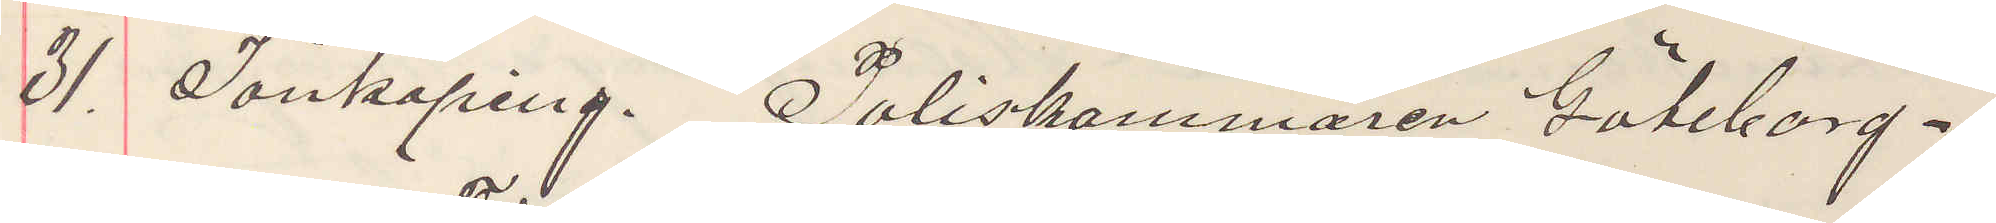31. Jönköping. Poliskammaren Göteborg.
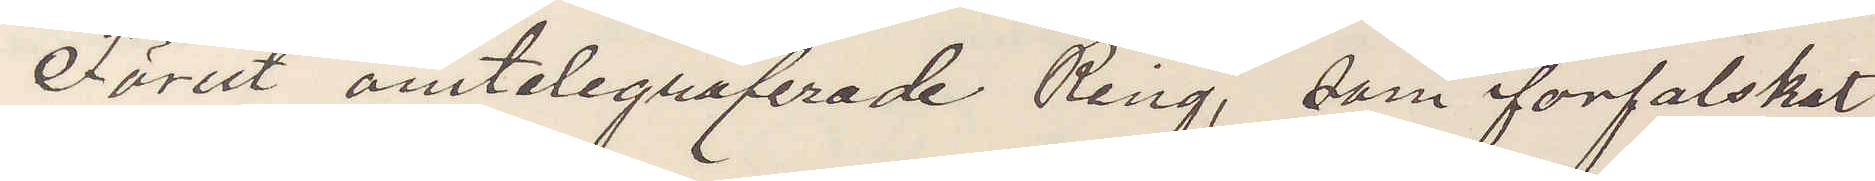Förut omtelegraferade Ring, som förfalskat
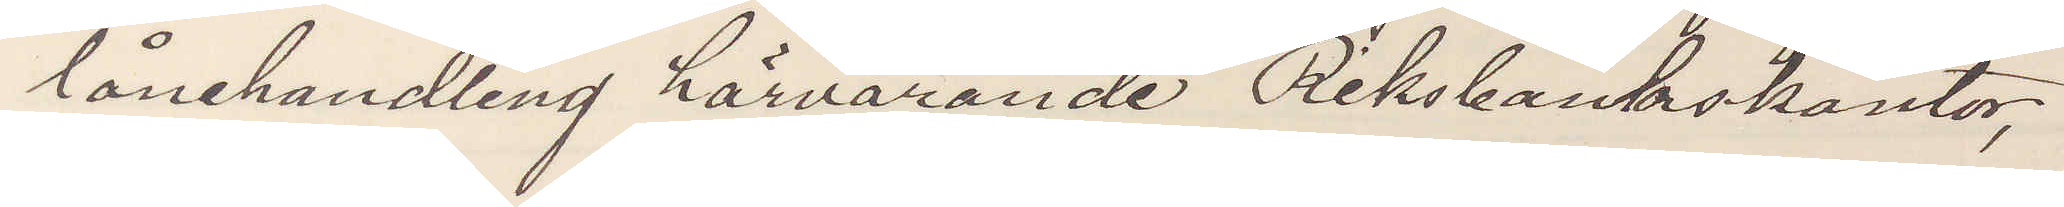lånehandling härvarande Riksbankskontor,
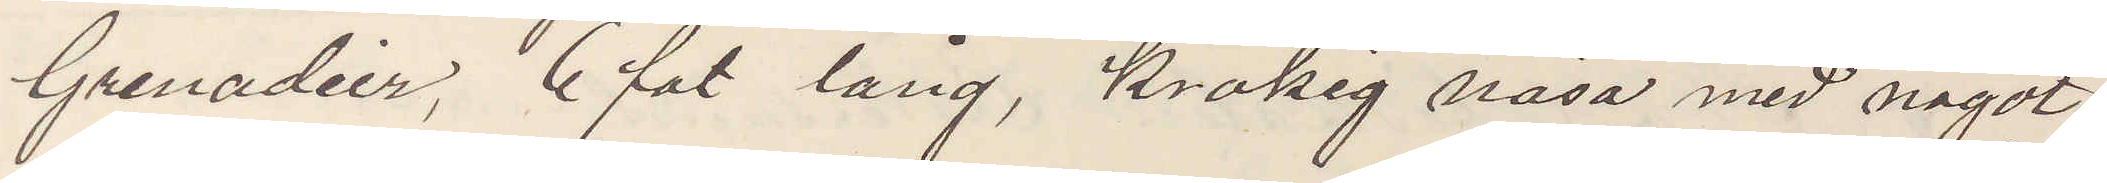Grenadier, 6 fot lång, krokig näsa med något
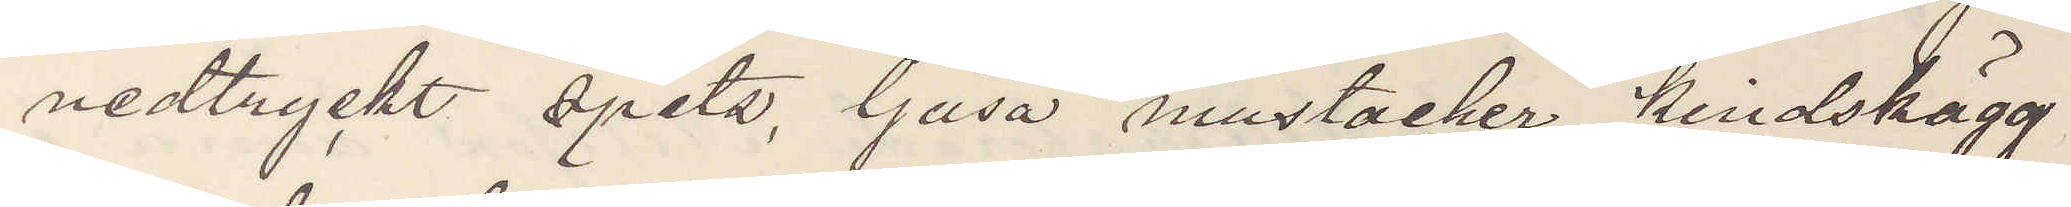nedtryckt spets, ljusa mustacher, kindskägg
